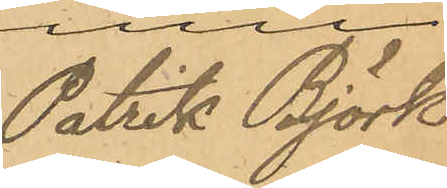Patrik Björk
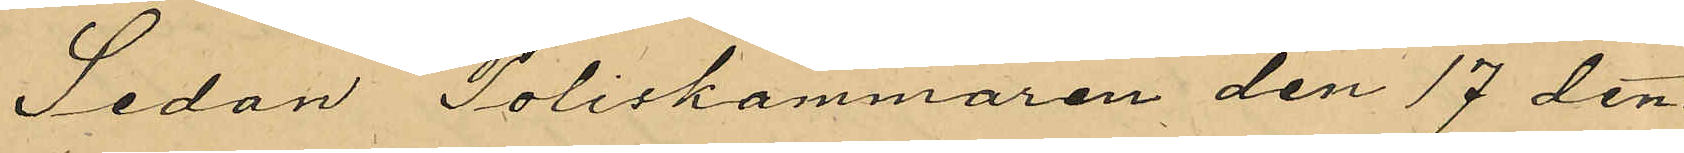Sedan Poliskammaren den 17 den¬
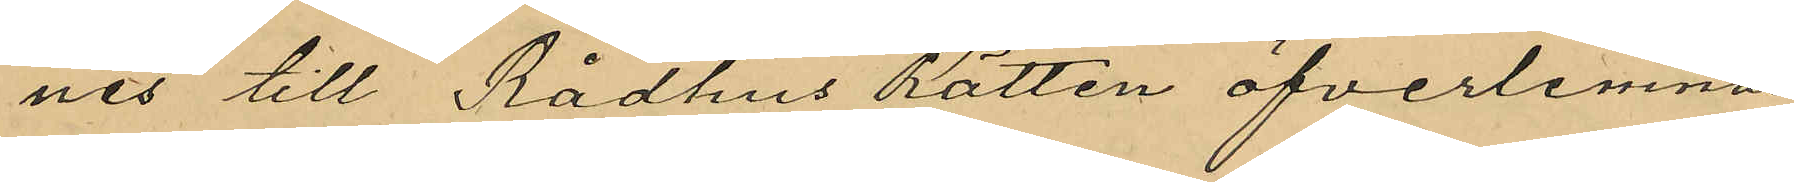nes till Rådhus Rätten öfverlemnat
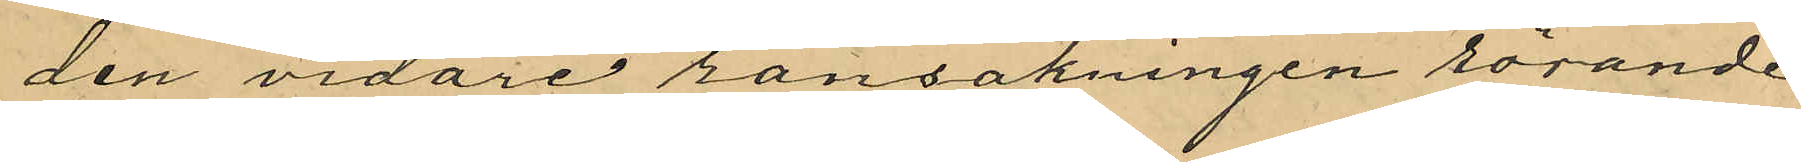den vidare ransakningen rörande
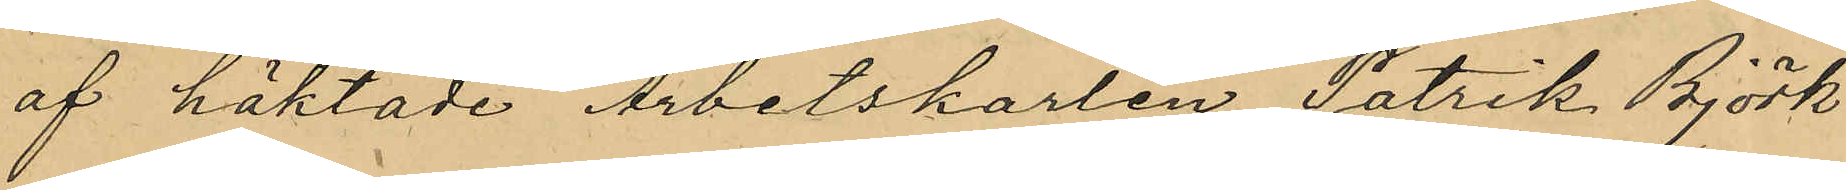af häktade Arbetskarlen Patrik Björk
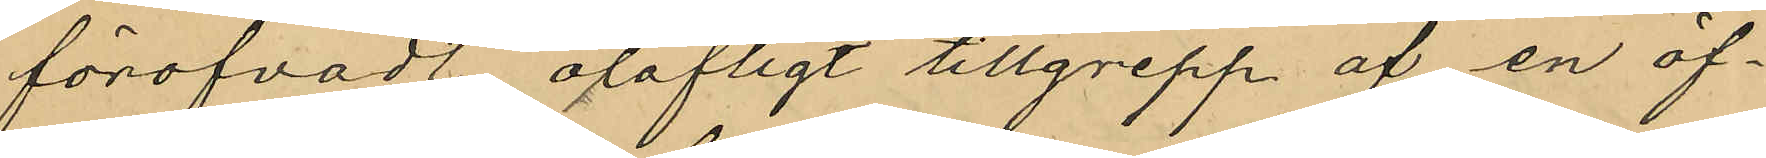föröfvadt olofligt tillgrepp af en öf¬
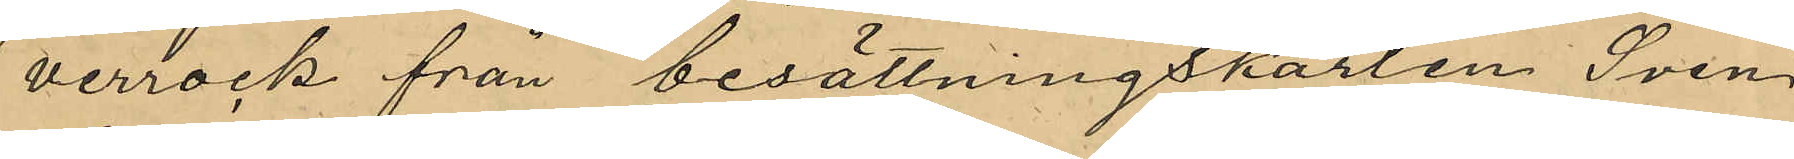verrock från besättningskarlen Sven
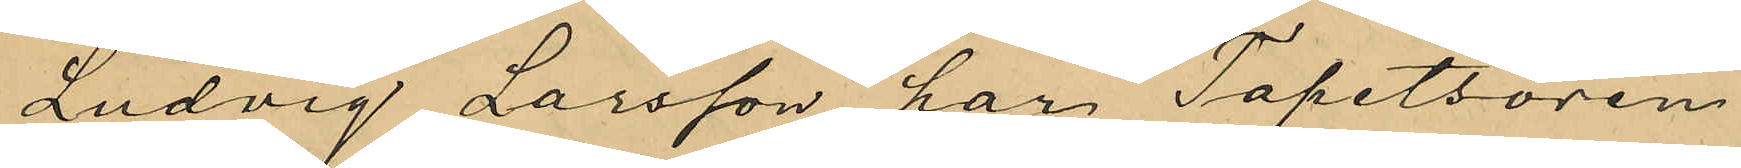Ludvig Larsson, har Tapetsören
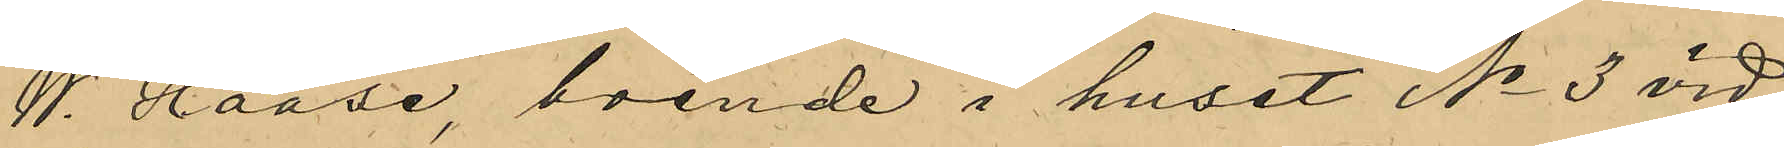W. Haase, boende i huset No 3 vid
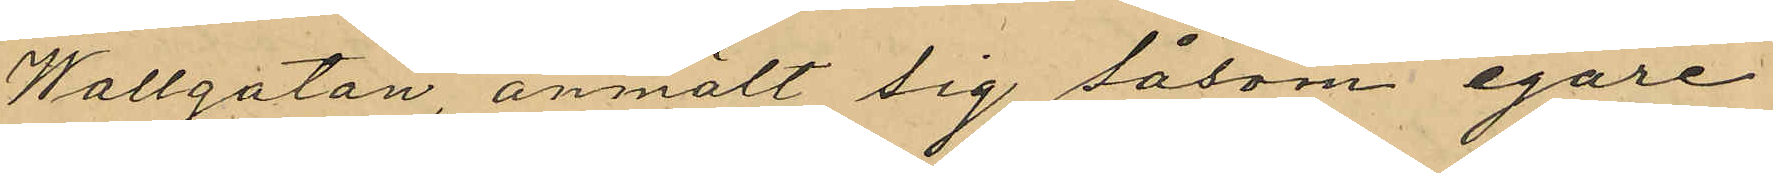Wallgatan, anmält sig såsom egare
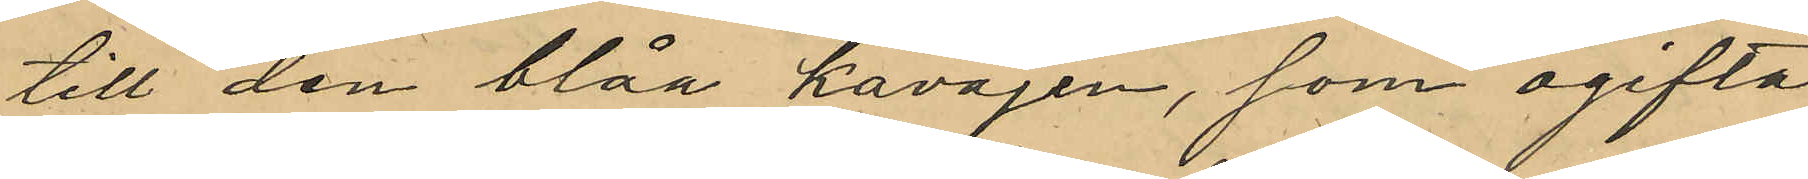till den blåa kavajen, som ogifta
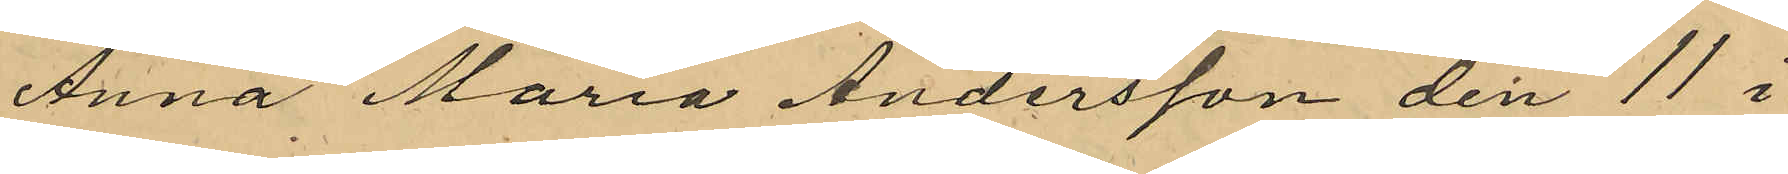Anna Maria Andersson den 11 i
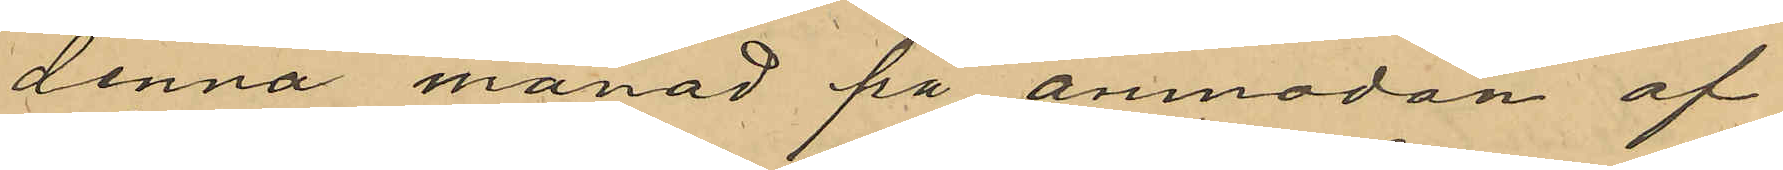denna månad på anmodan af
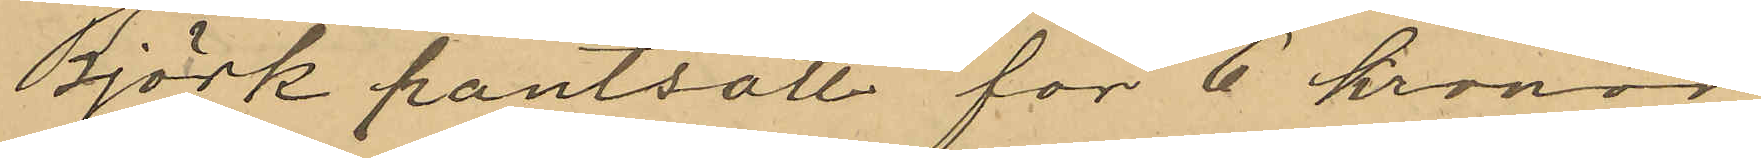Björk pantsatt för 6 kronor
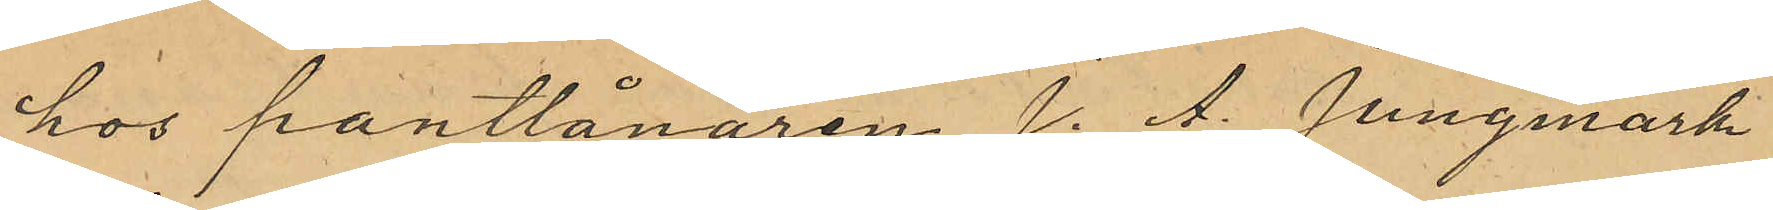hos pantlånaren J. A. Jungmark
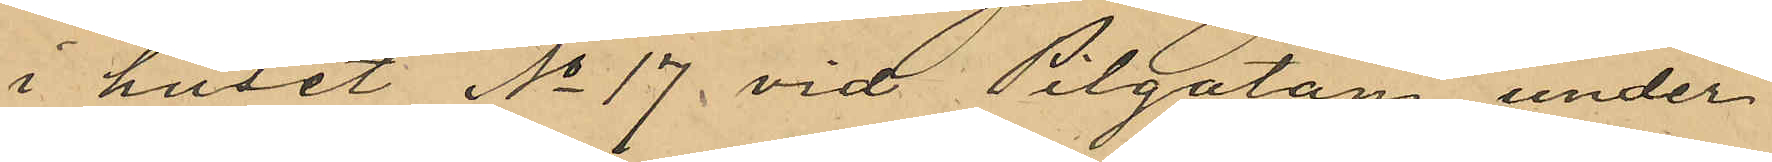i huset No 17 vid Pilgatan, under
